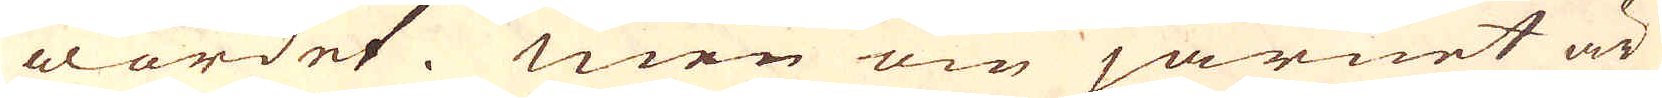wordet. Men om järnet är
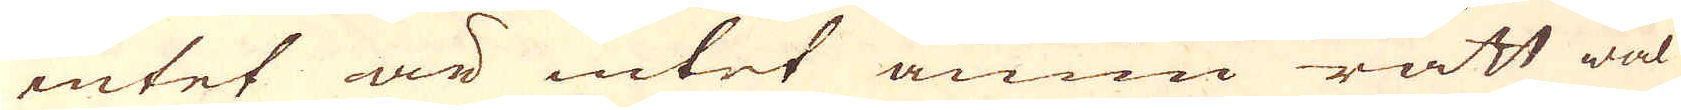intet är intet ännu rätt wäl
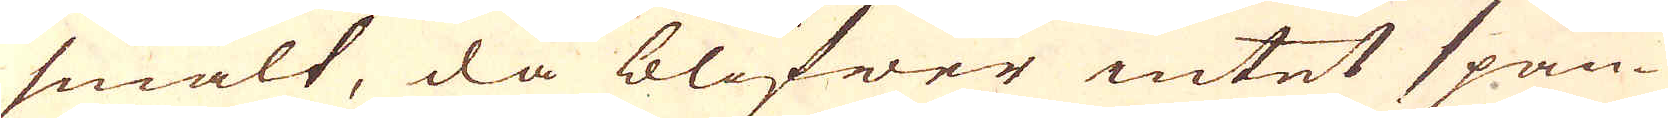smält, då blifwer intet span-
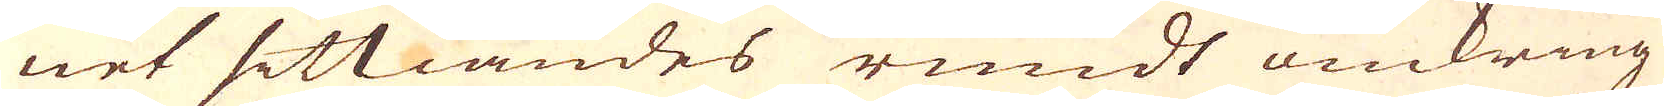net sittiandes rundt omkring
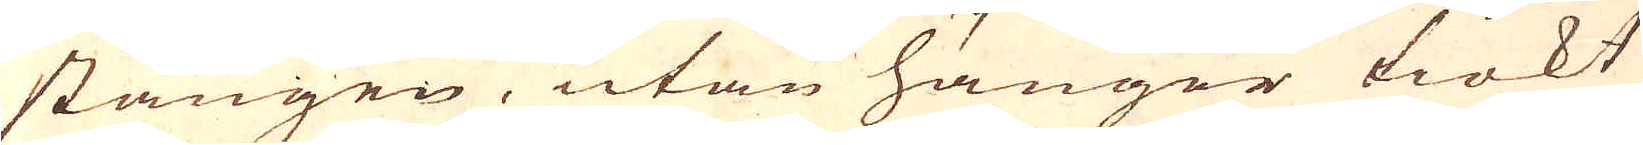stången, utan hänger tiokt
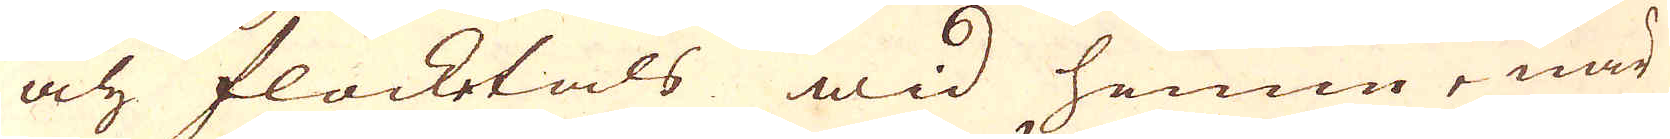och flocketals wid henne,när
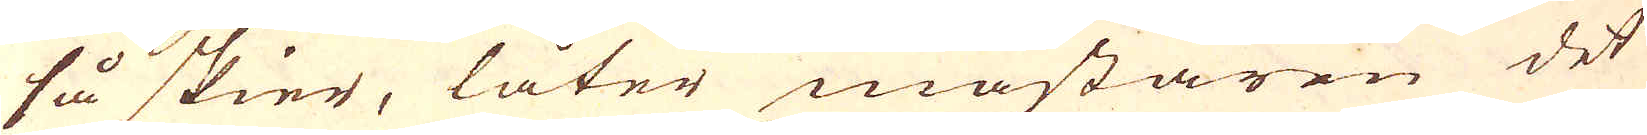så skier, låter mästaren det
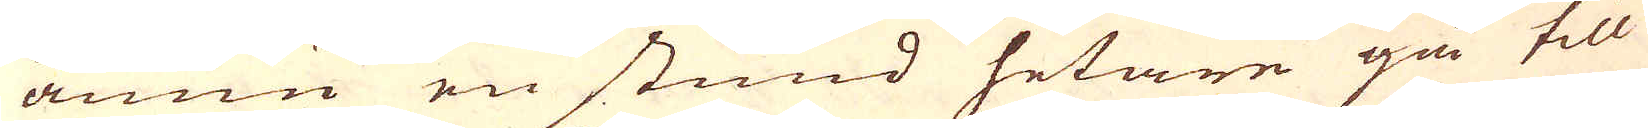ännu en stund hetare gå till
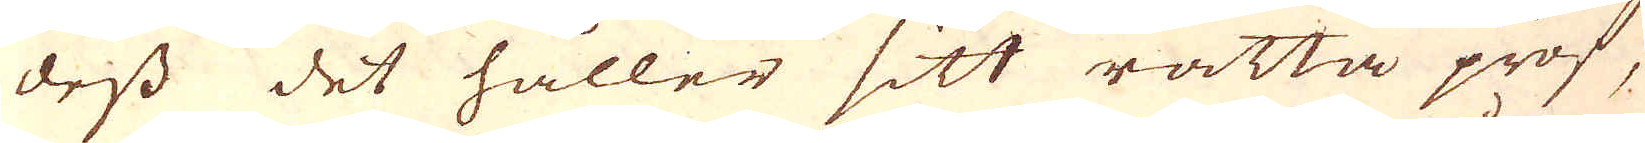dess det håller sitt rätta prof,
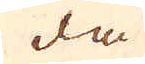då
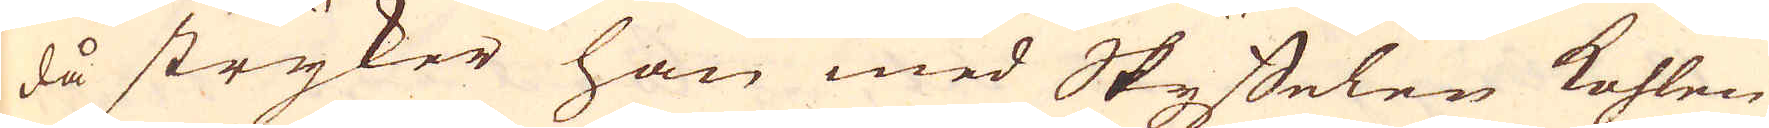då stryker han med Skyffelen kohlen
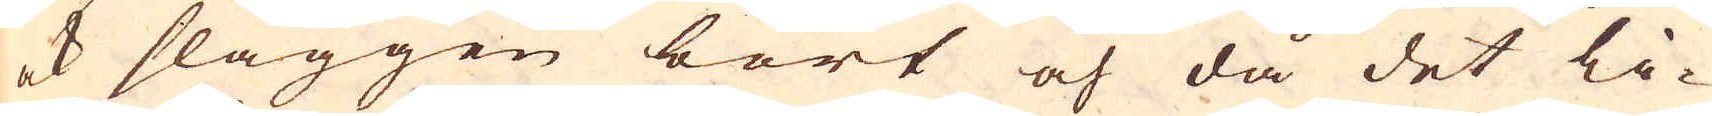ock slaggen bort och då det li-
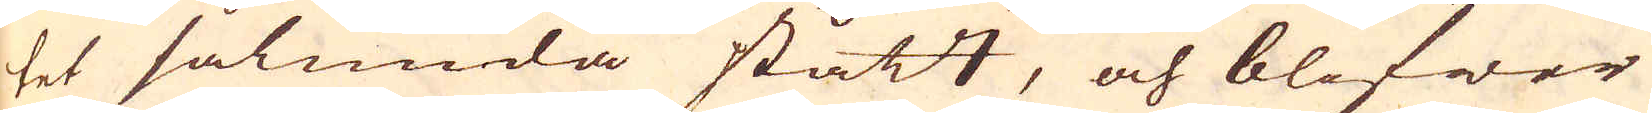tet sålunda stått, och blifwer
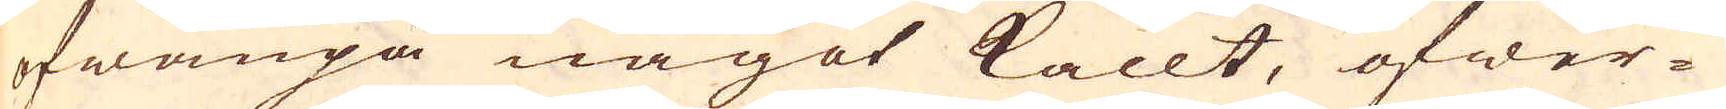ofwanpå något kallt, öfwer-
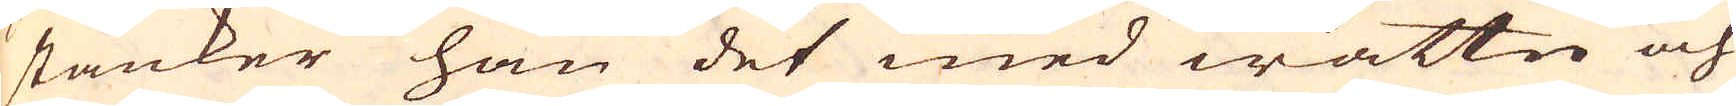stänker han det med wattn och
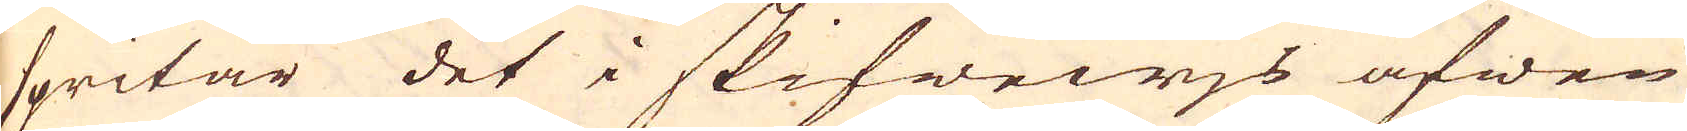spritar det i skifwejs äfwen
